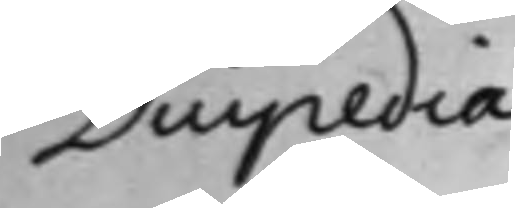Duipedia
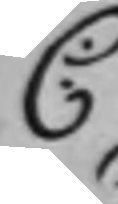C:
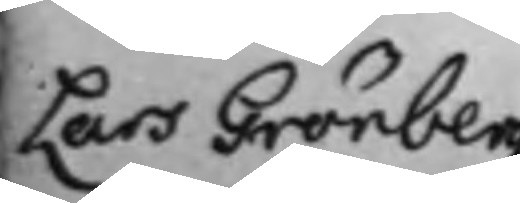Lars Grönberg,
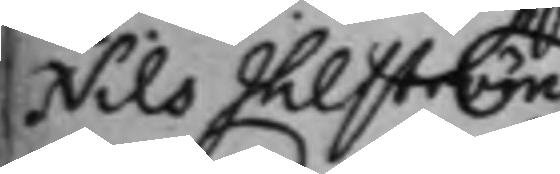Nils Ihlström
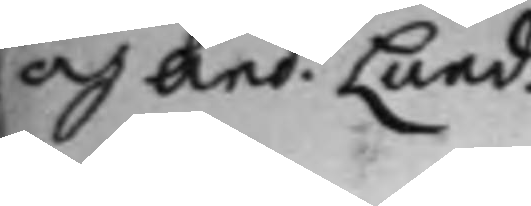as And. Lund.
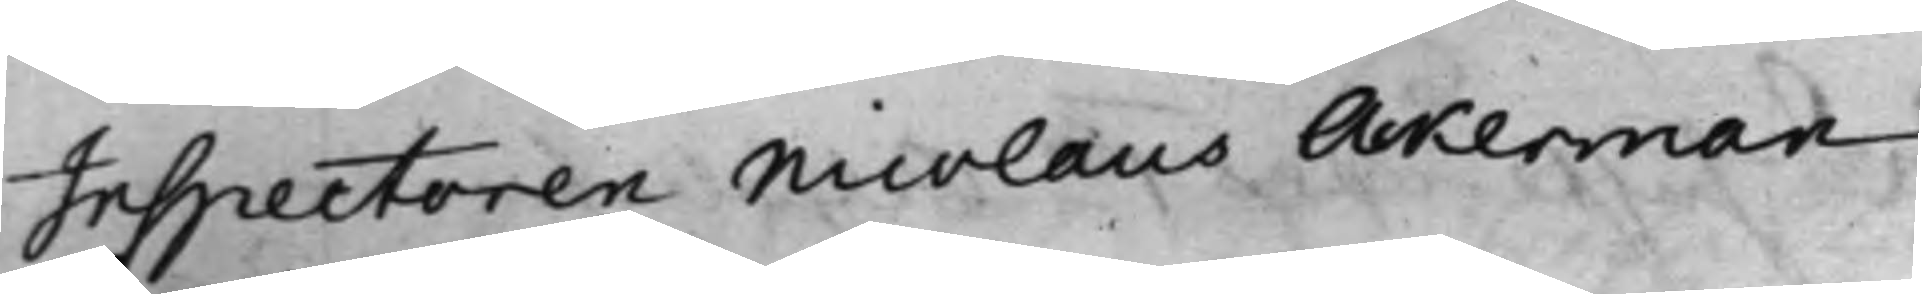Inspectoren Nicolaus Ackerman
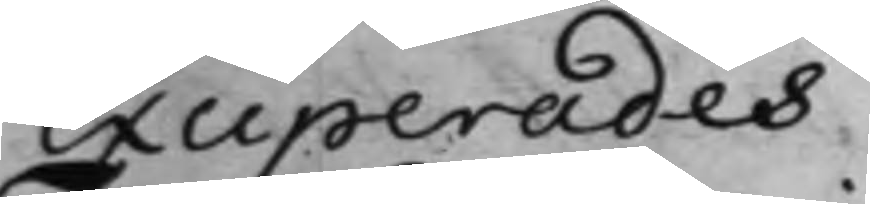exciperades.
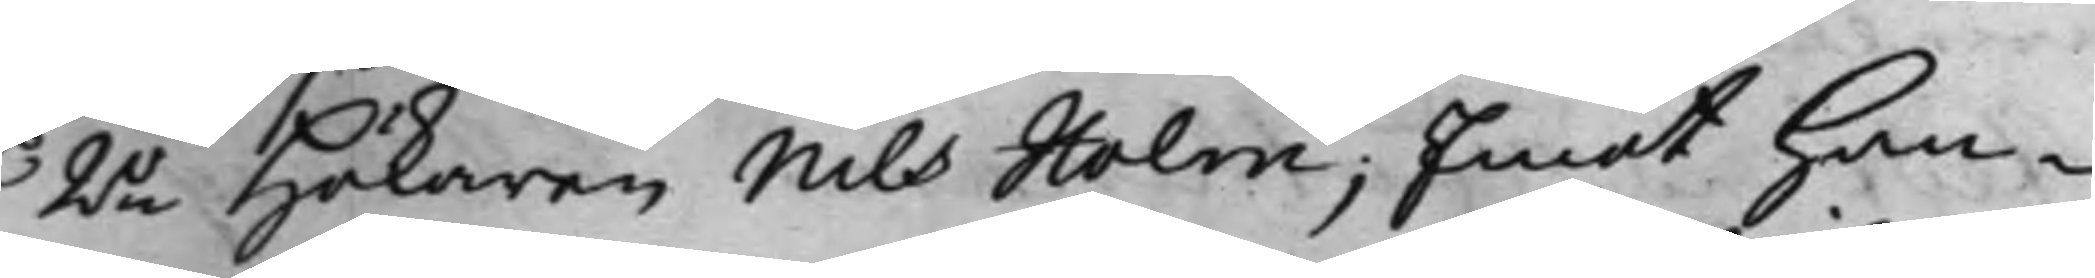2o Hökaren Nils Holm; Emot han¬
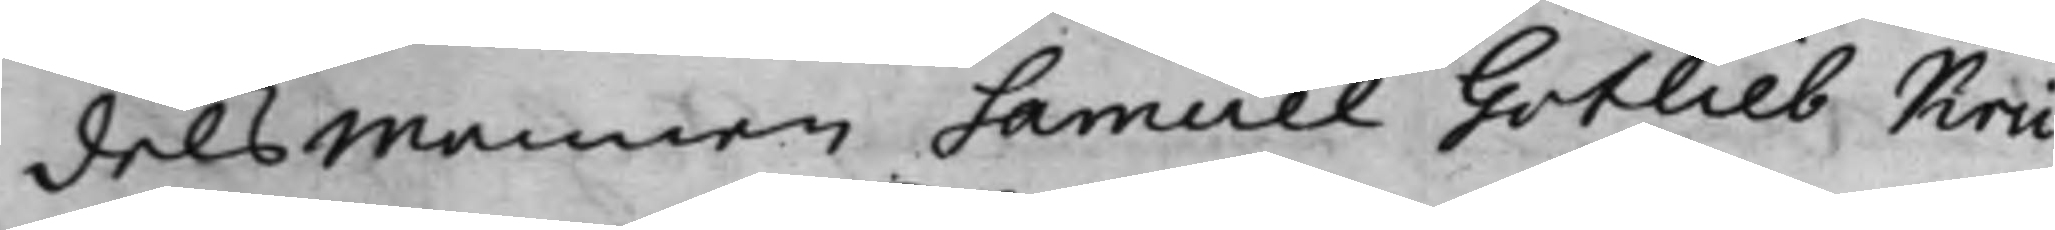delsmannen Samuel Gotlieb Krü¬
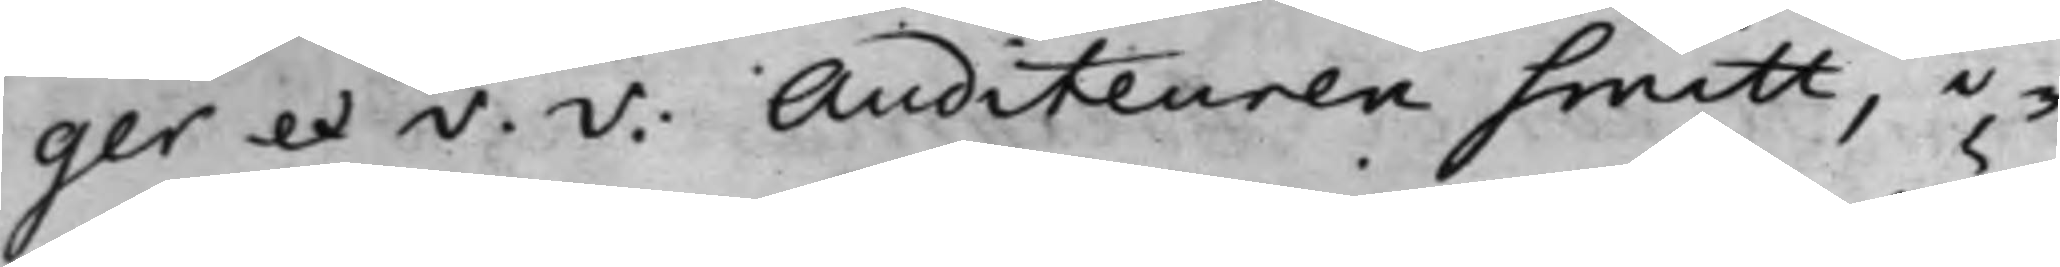ger et v. v: Auditeuren Smitt, i¬
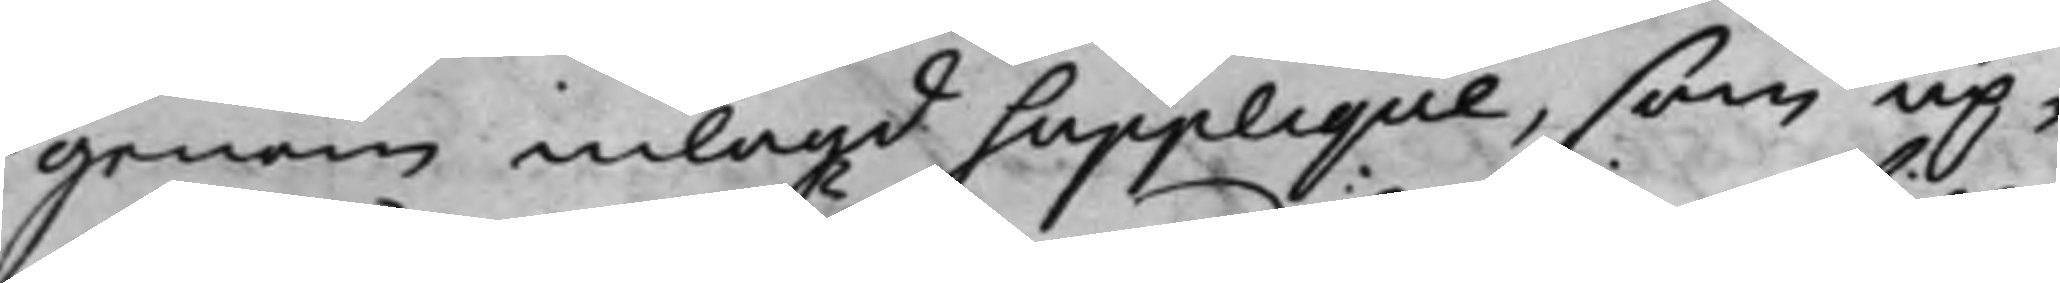genom inlagd Supplique, som up¬
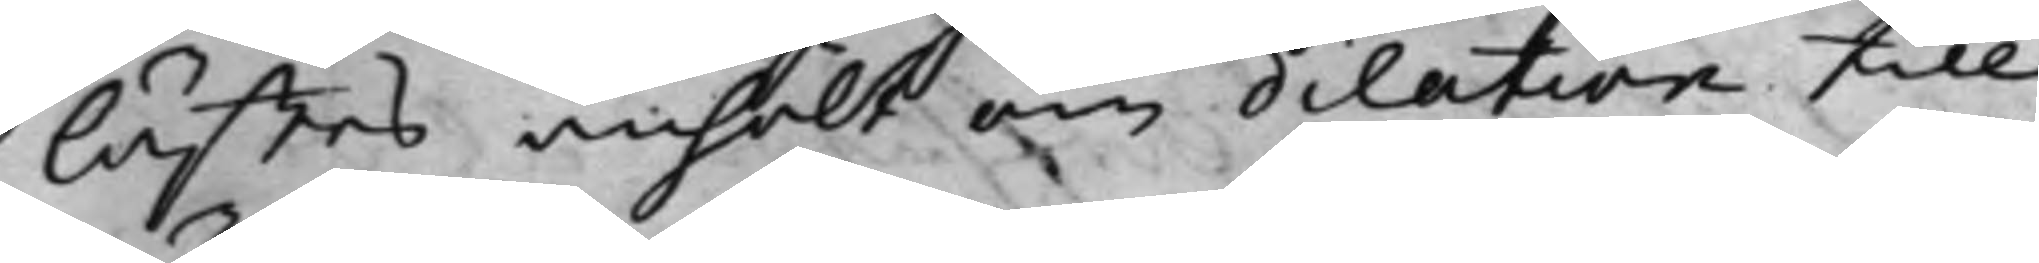lästes anhölt om dilation till
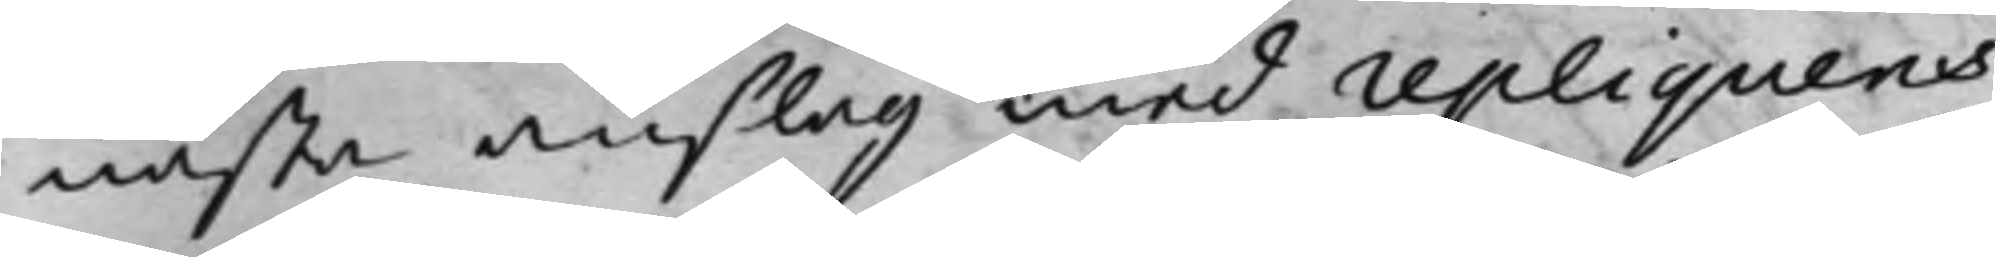nästa anslag med repliquens
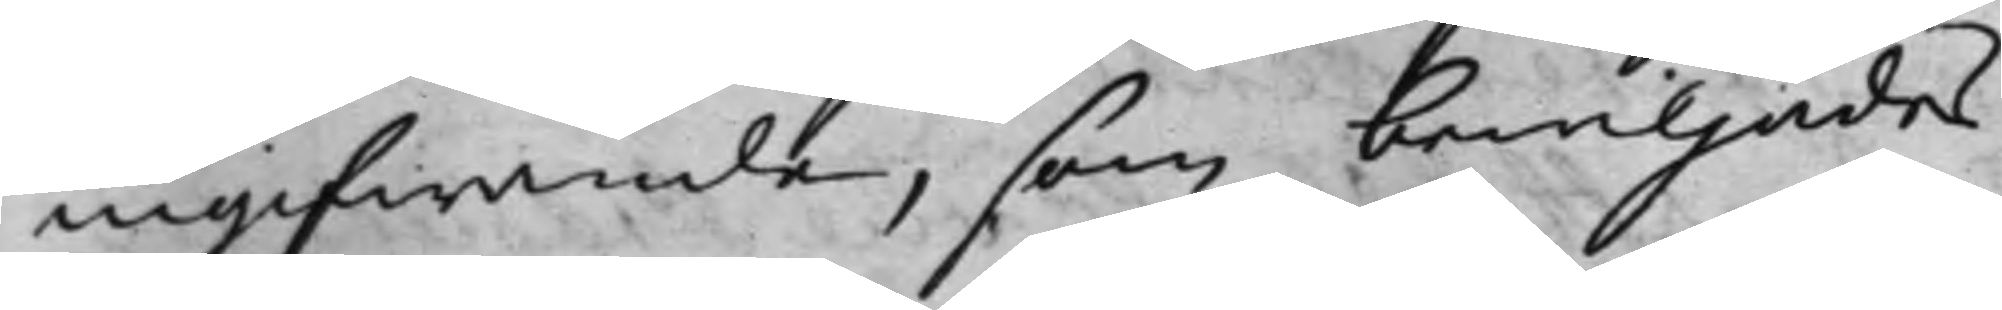ingifwande, som bewiljades.
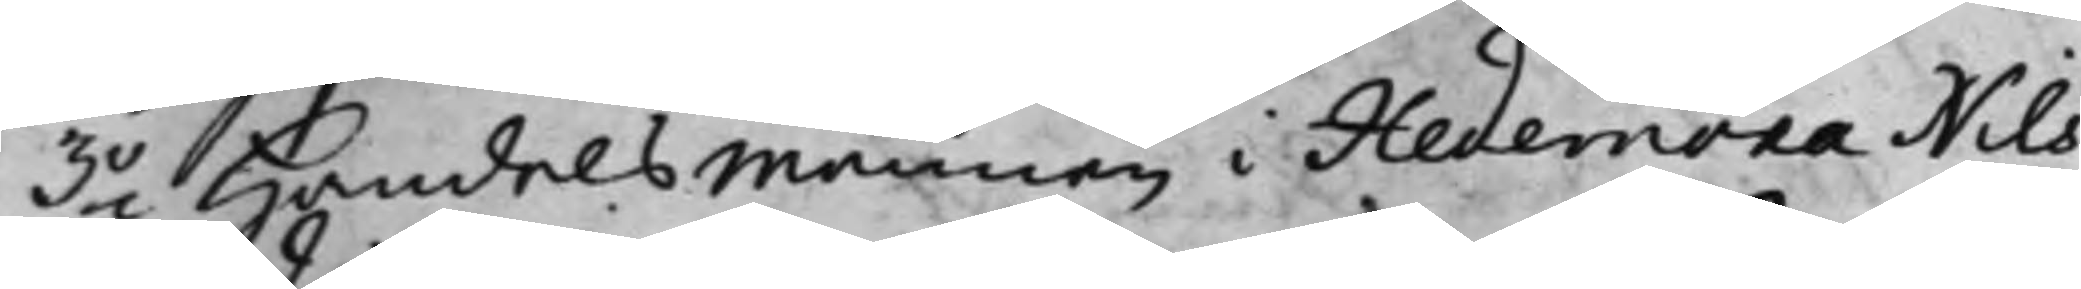3o Handelsmannen i Hedemora Nils
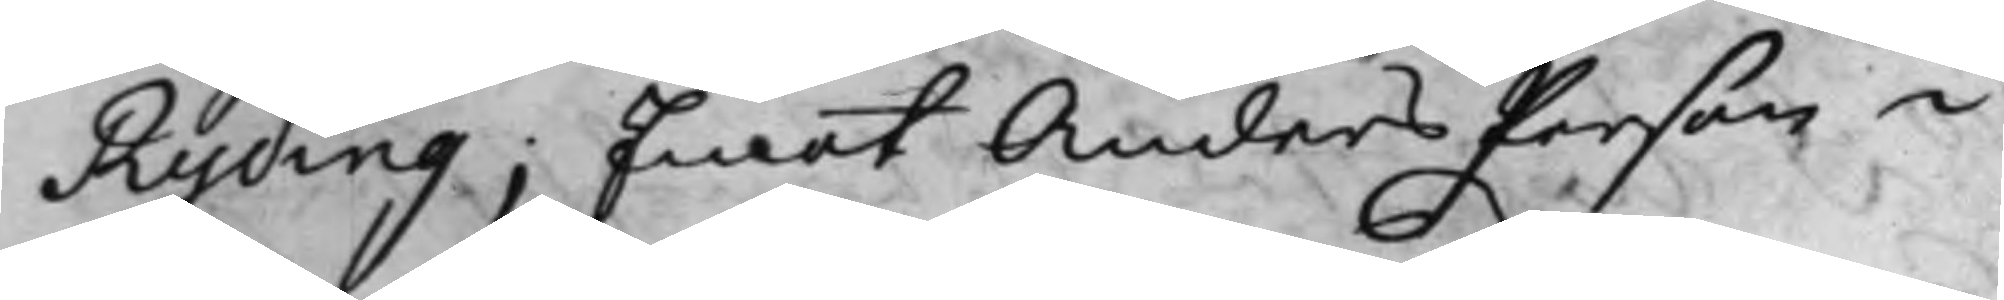Ryding; Emot Anders Person i
